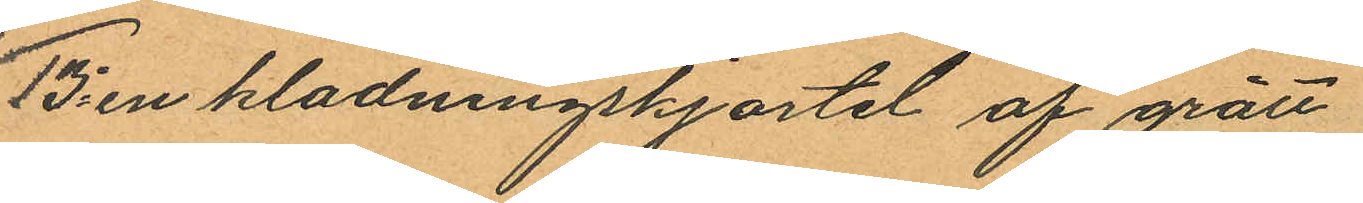13o en kladningskjortel af grått
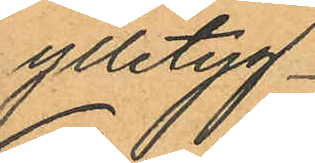ylletyg
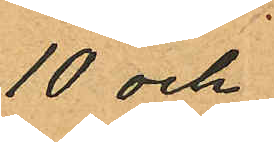10 och
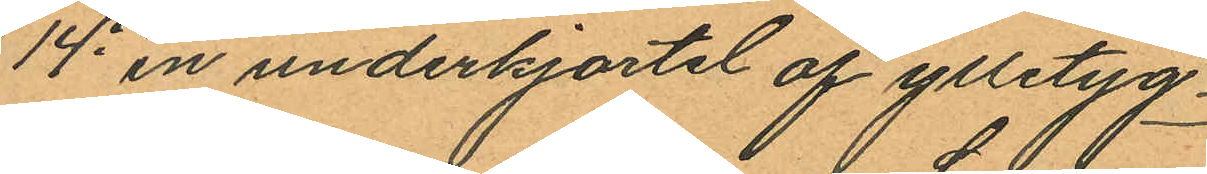14o en underkjortel af ylletyg
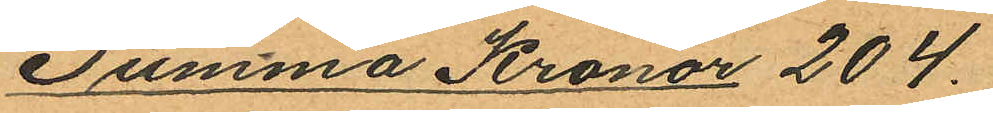Summa Kronor 204.
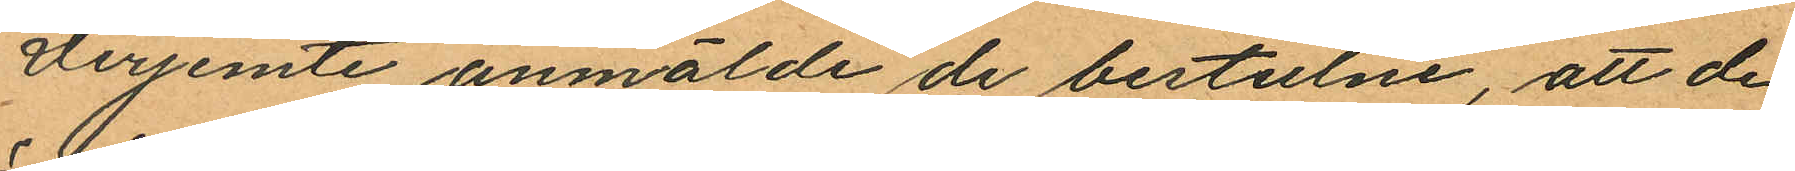Derjemte anmälde de bestulne, att de
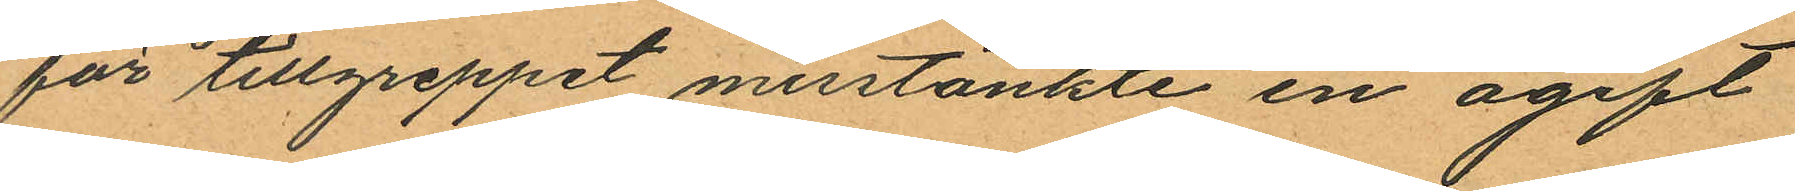för tillgreppet misstänkte en ogift
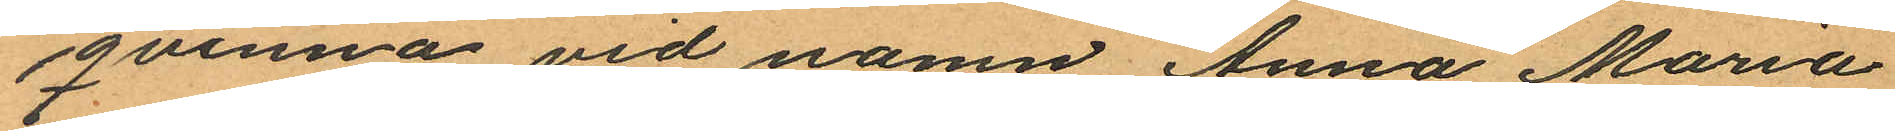qvinna vid namn Anna Maria
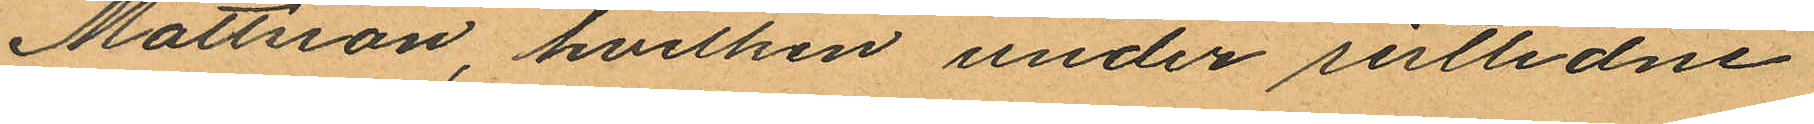Mattsson, hvilken under sistlidne
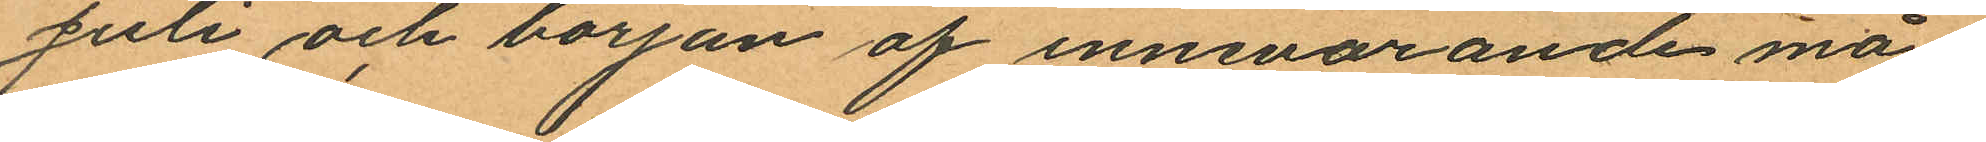Juli och början af innevarande må
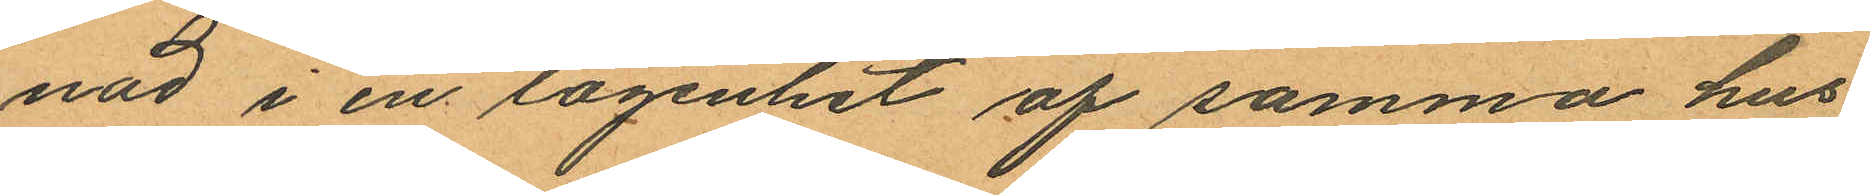nad i en lägenhet af samma hus,
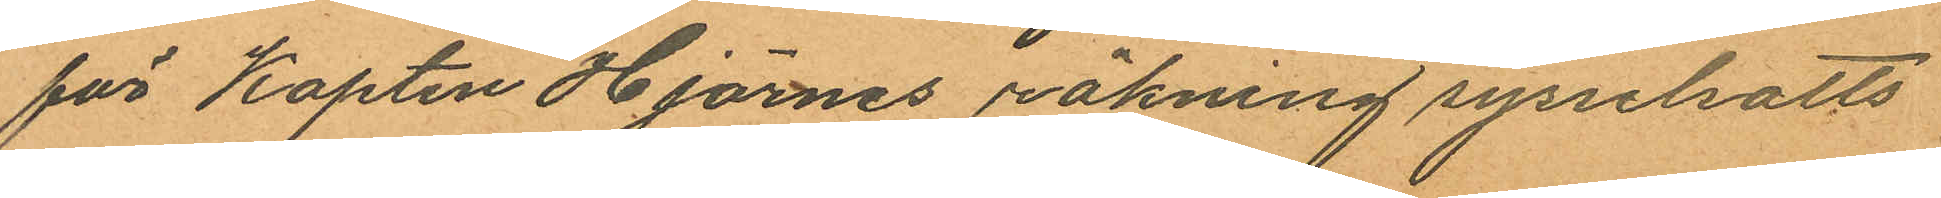för Kapten Hjärnes räkning sysselsatts
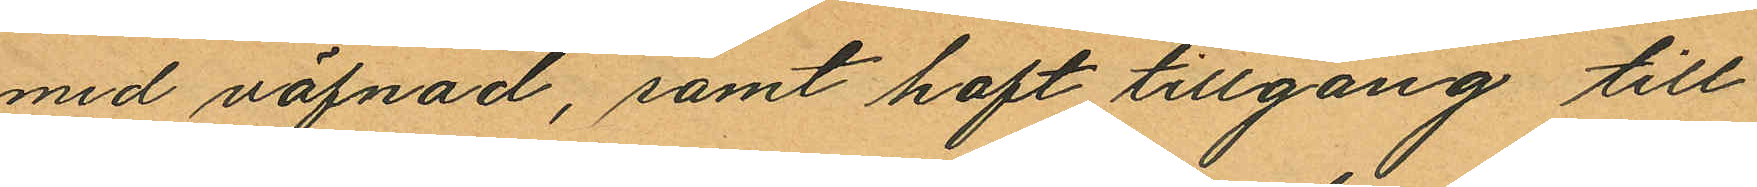med väfnad, samt haft tillgång till
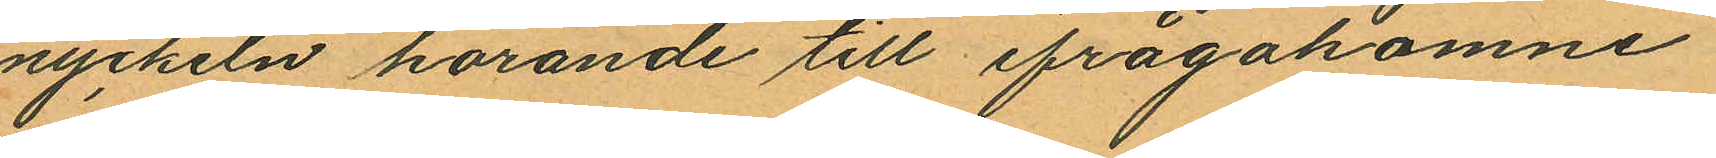nyckeln hörande till ifrågakomne
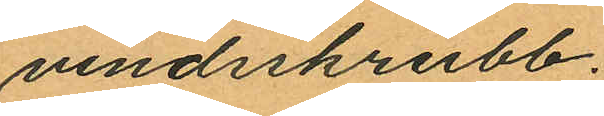vindsskrubb.
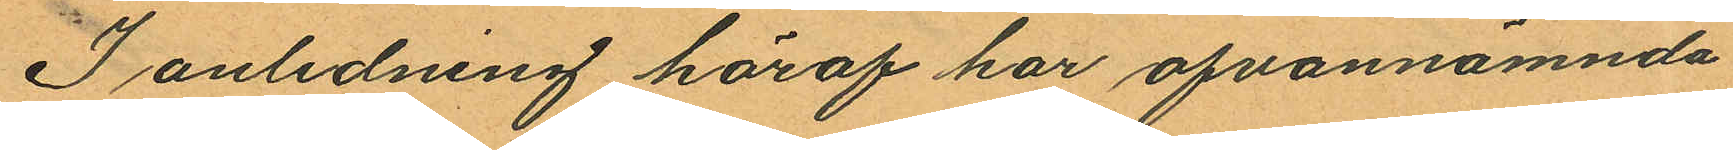I anledning häraf har ofvannämnda
